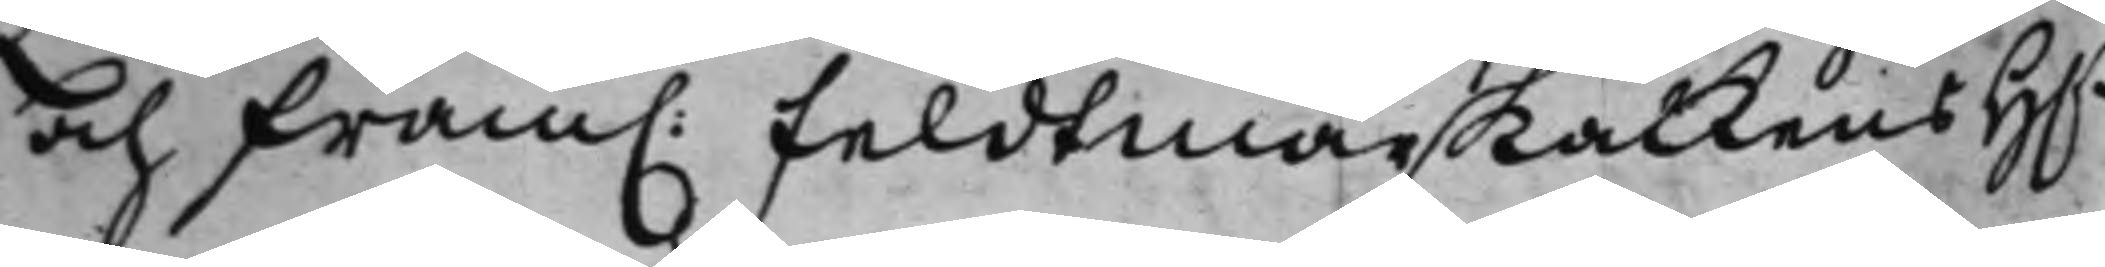och fram. Feldtmarskalkens H.r
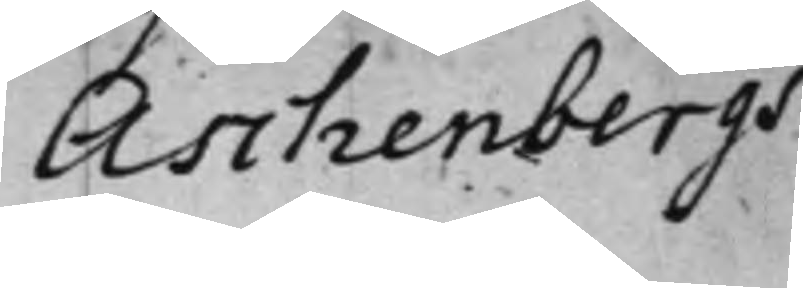Aschenbergs
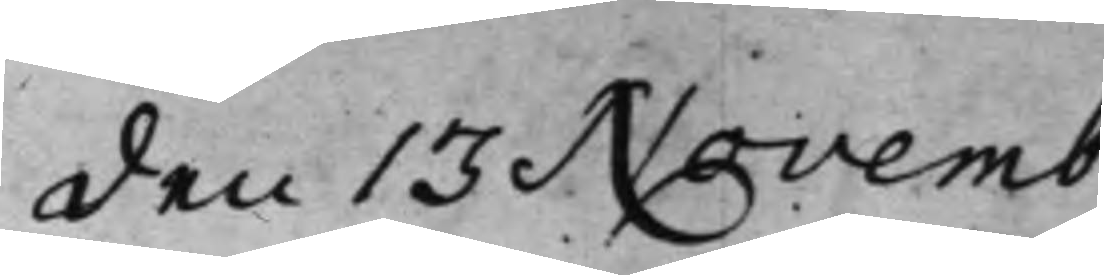den 13 Novemb. 
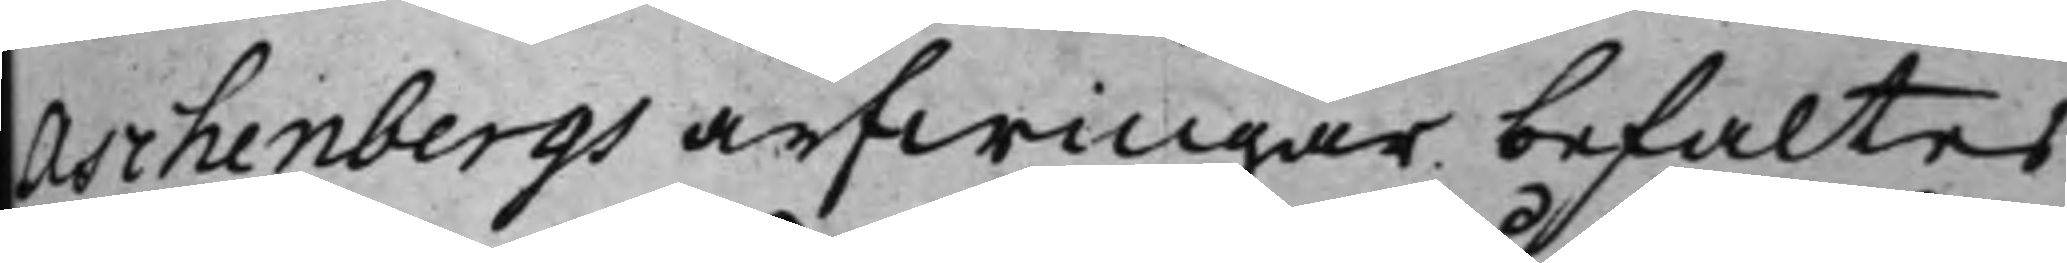Aschenbergs arfwingar befaltes
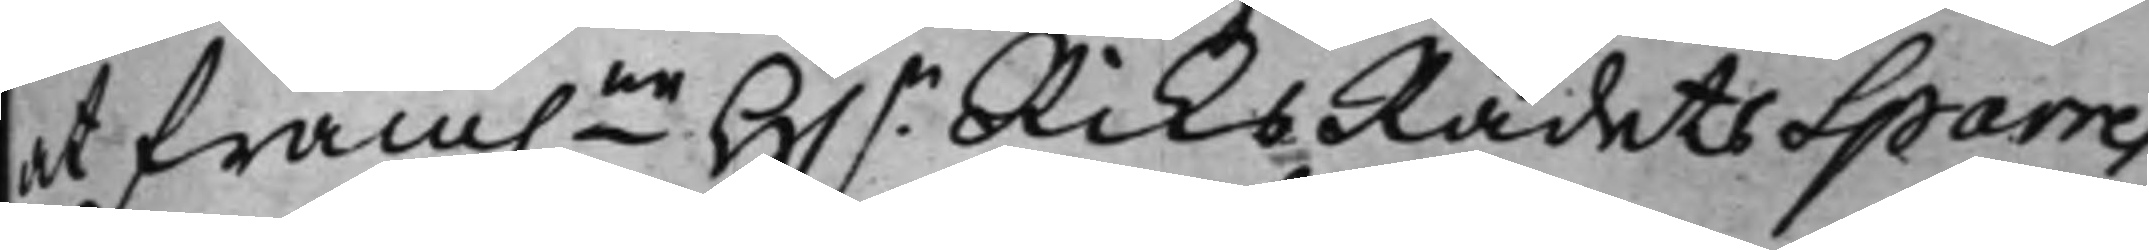at fram.ne H.r RiksRådets Sparres
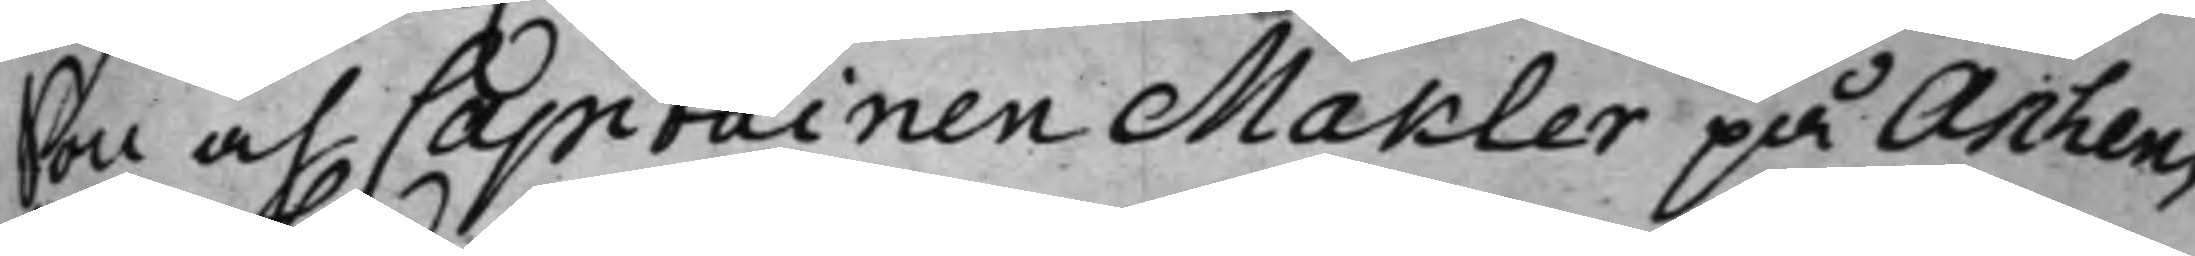Son och Capitainen Makler på Aschen¬
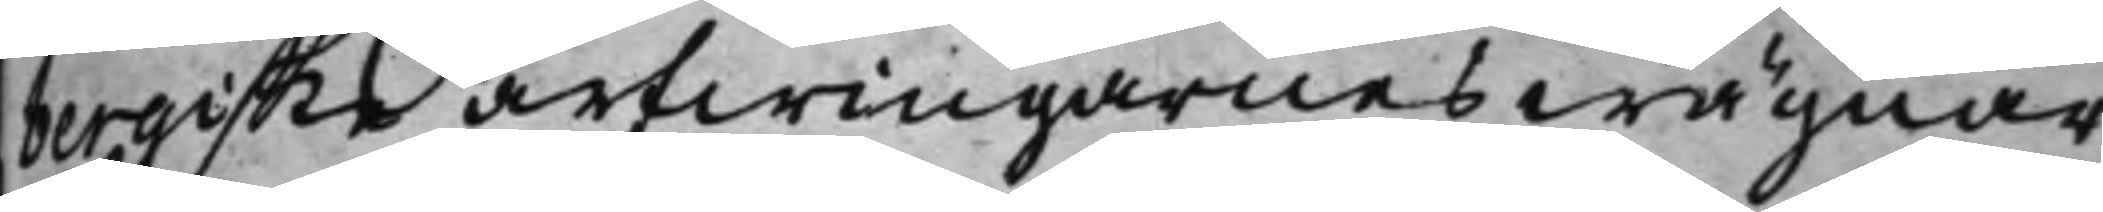bergiske arfwingarnes wägnar
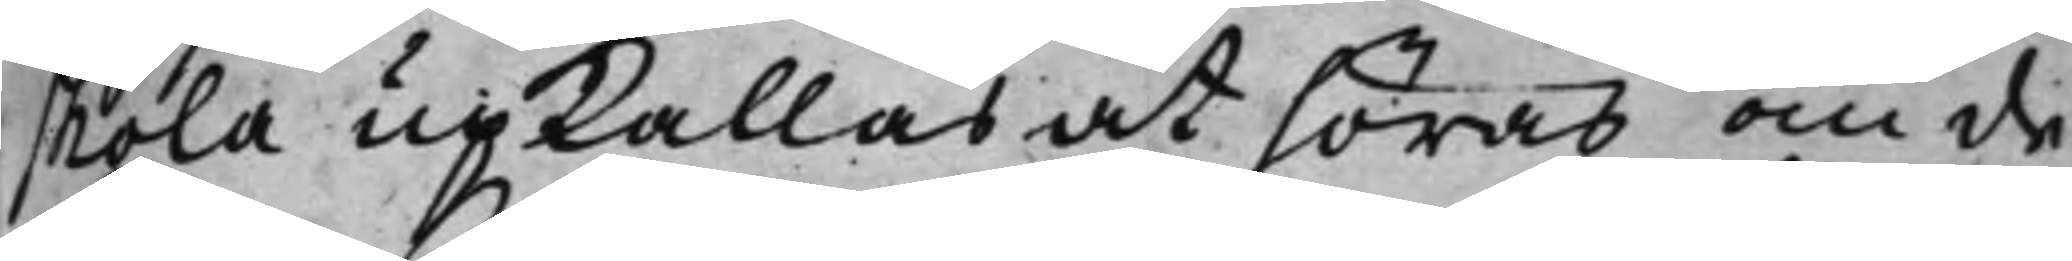skola upkallas at höras, om de,
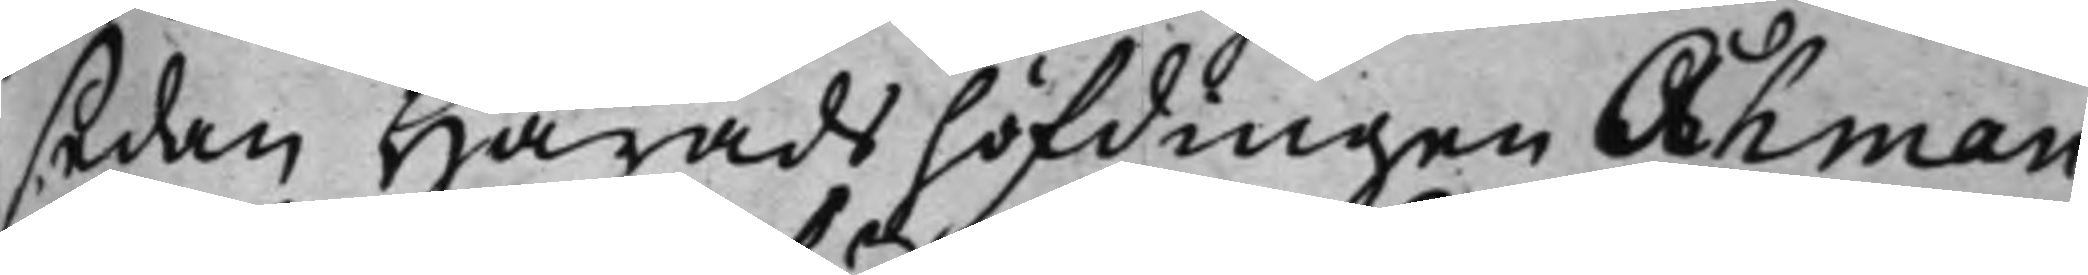sedan Häradshöfdingen Åhman
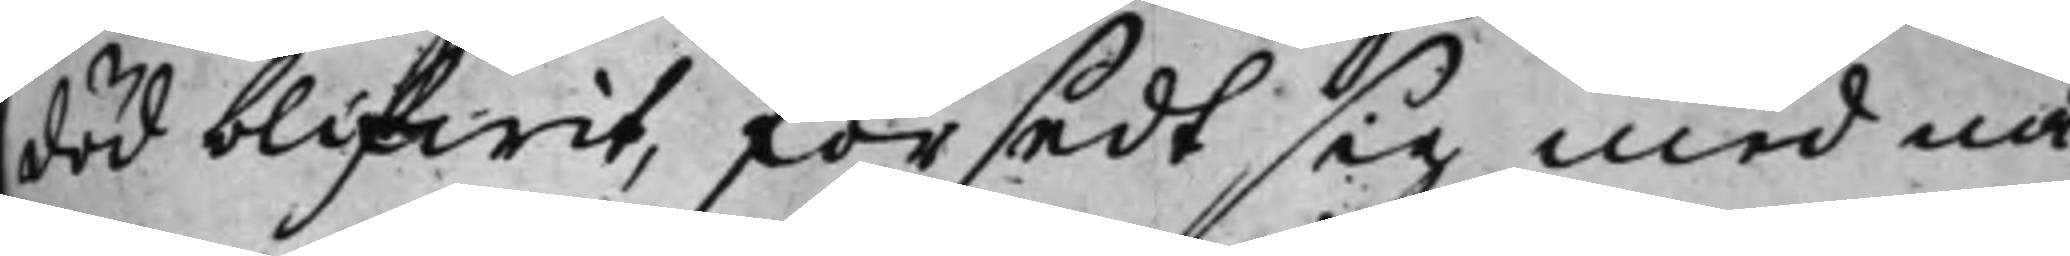död blifwit, försedt sig med nå¬
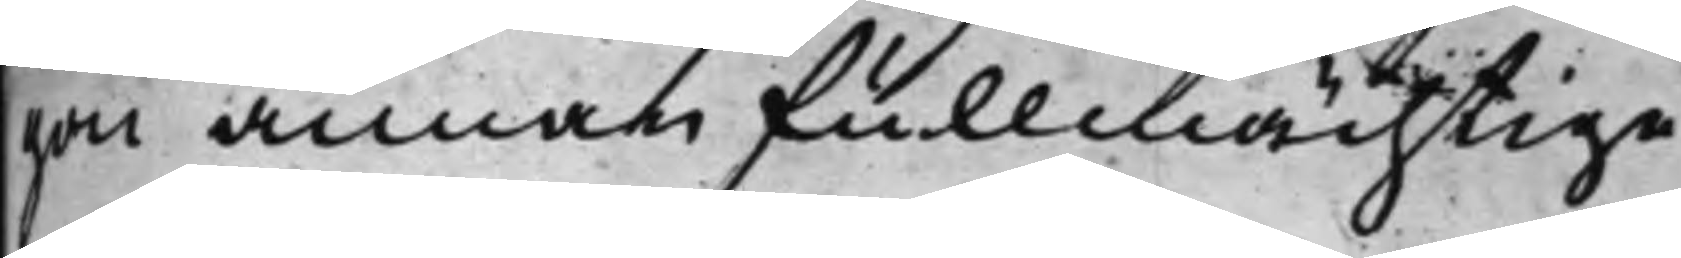gon annan fullmächtige.
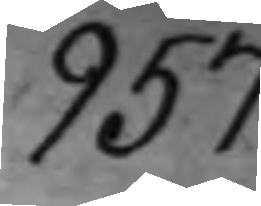957.
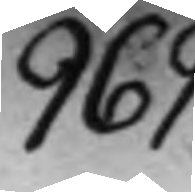969.
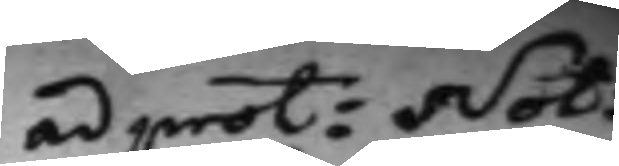ad prot: Not:
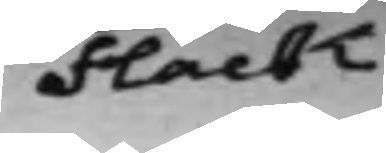Flack.
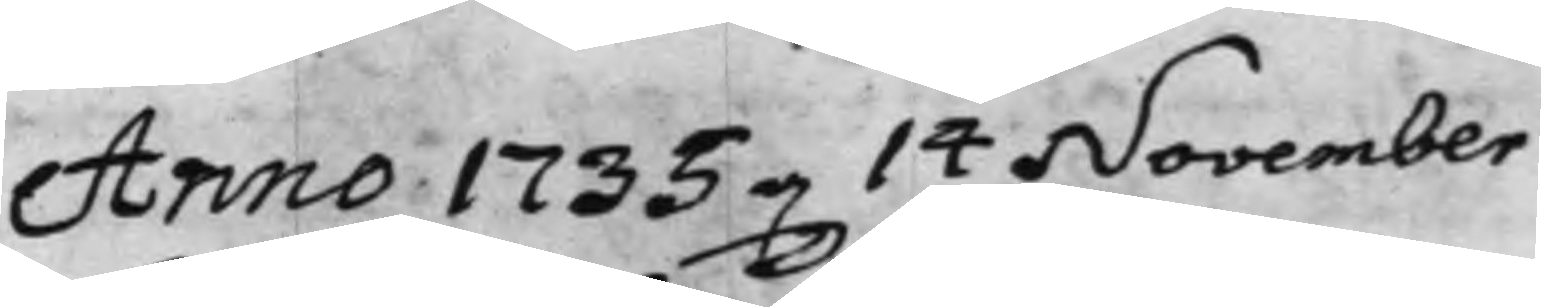Anno 1735 d. 14 November
